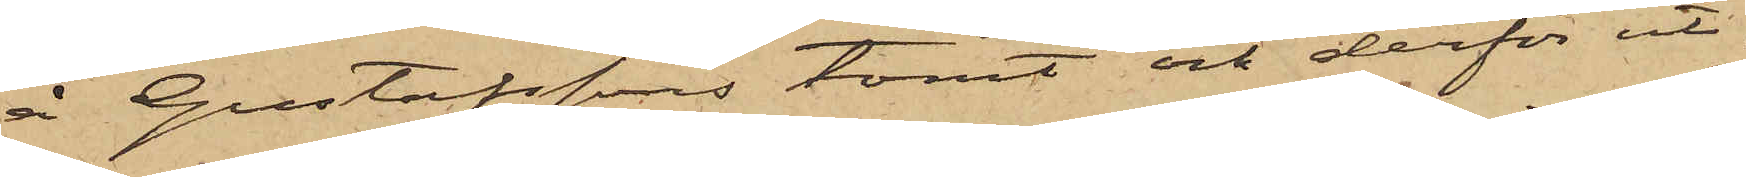å Gustafssons tomt och derför ut¬
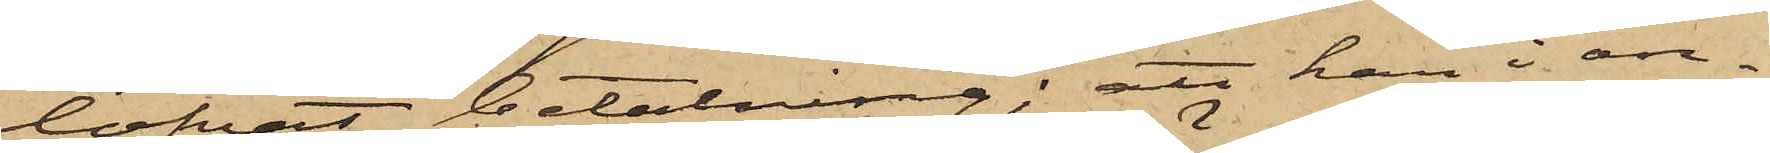lofvat betalning; att han i an¬
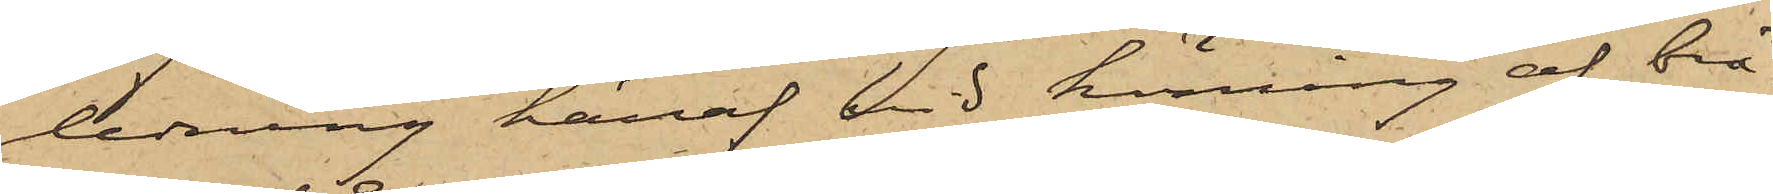ledning häraf vid körning af brä¬
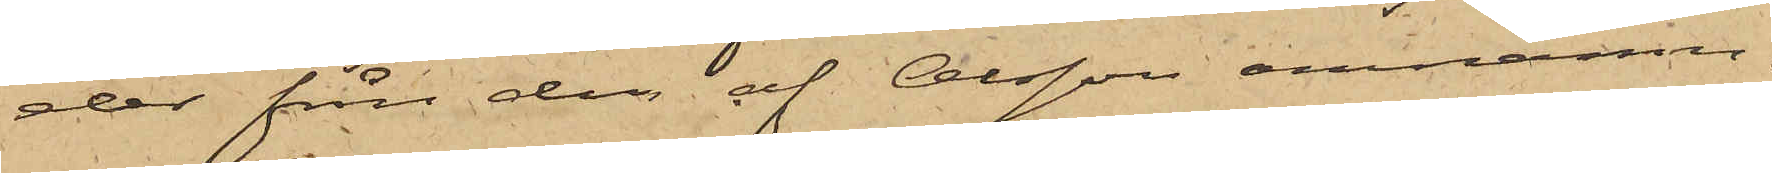der från den af Olsson omnämn¬
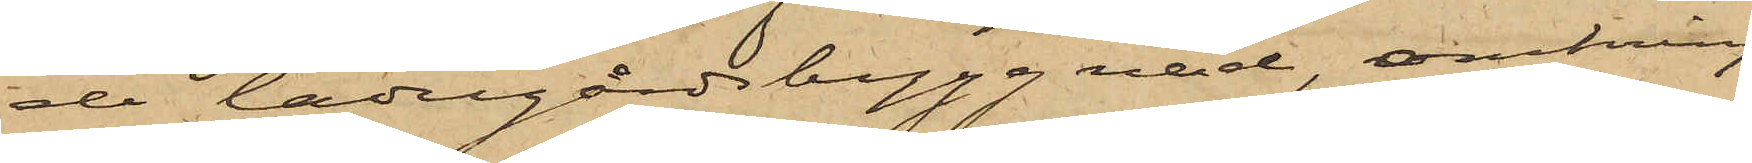de ladugårdsbyggnad, omkring
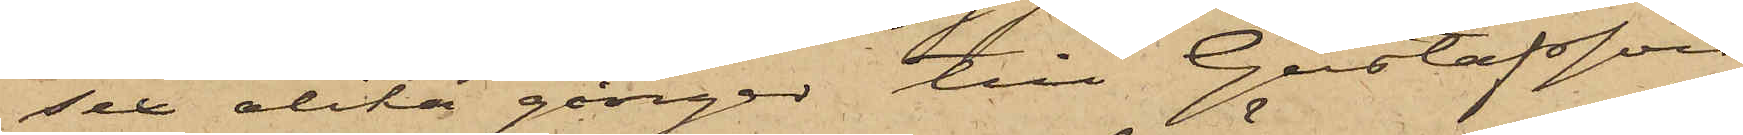sex olika gånger till Gustafsson
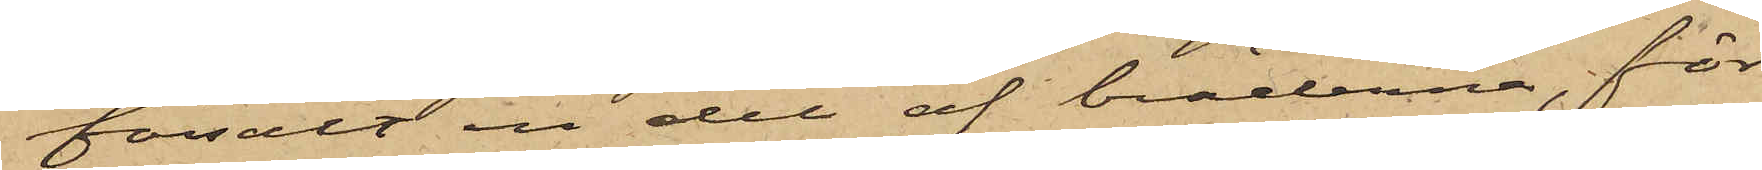försålt en del af bräderna, för
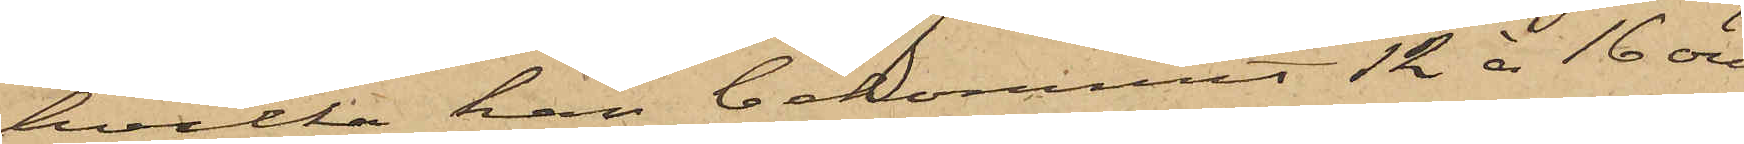hvilka han bekommit 12 à 16 öre
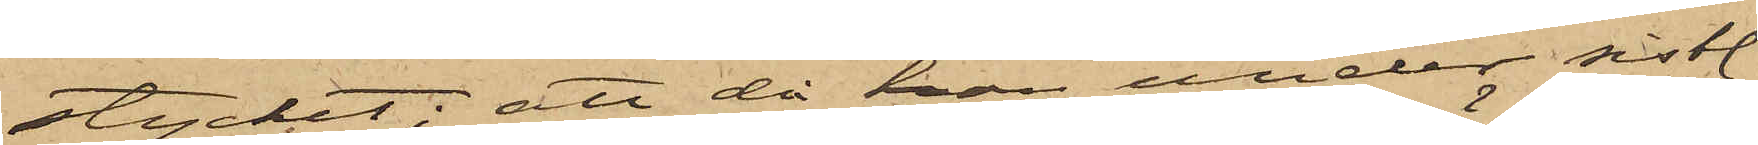stycket; att då han under sistl.
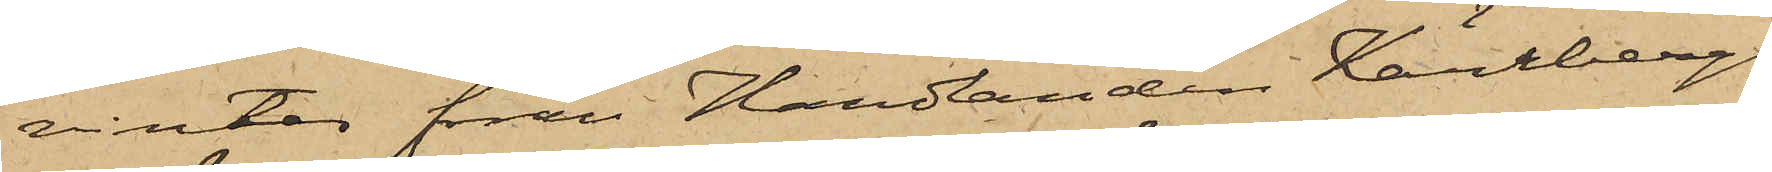vinter från Handlanden Kärrbergs
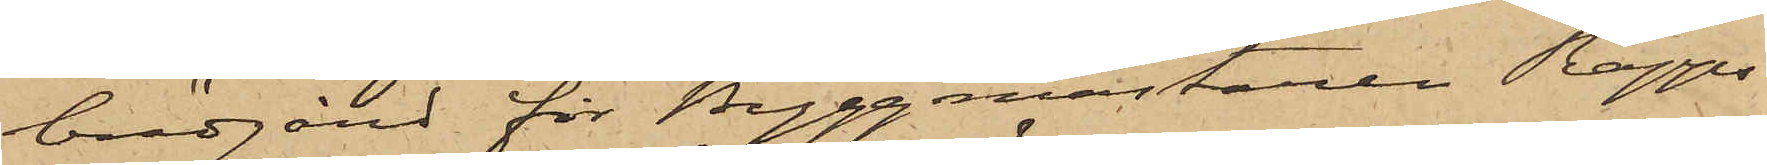brädgård för Byggmästaren Rapps
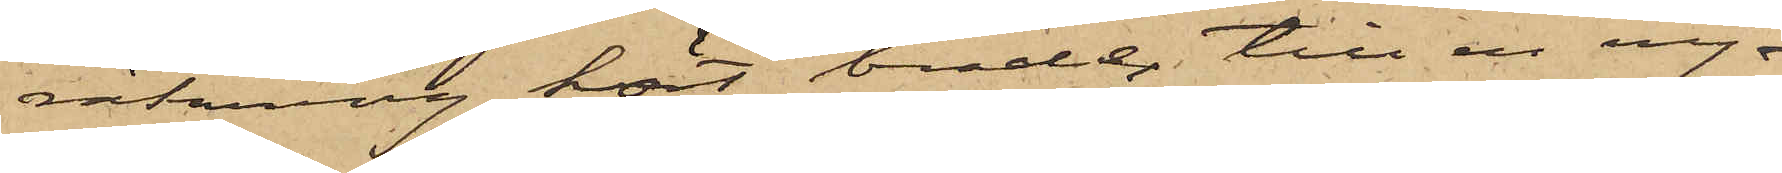räkning kört bräder till en ny¬
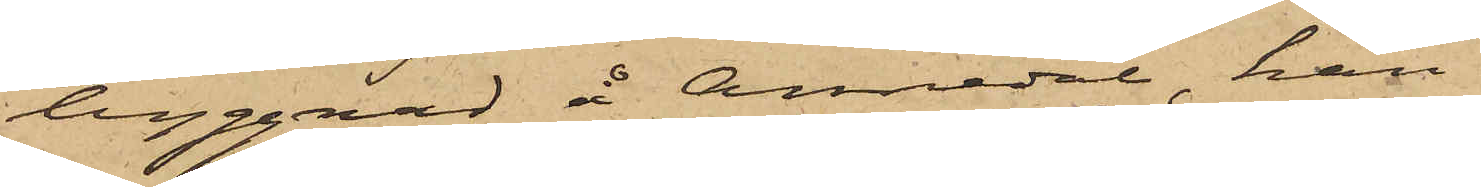byggnad å Annedal, han
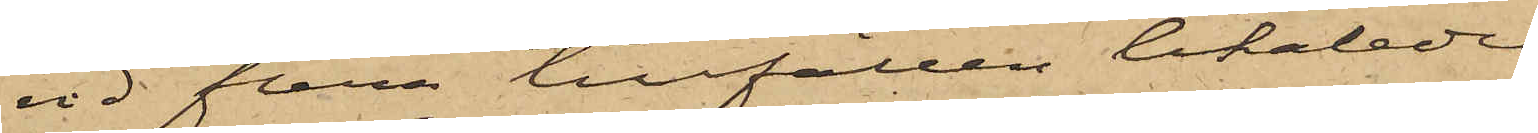vid flera tillfällen likaledes
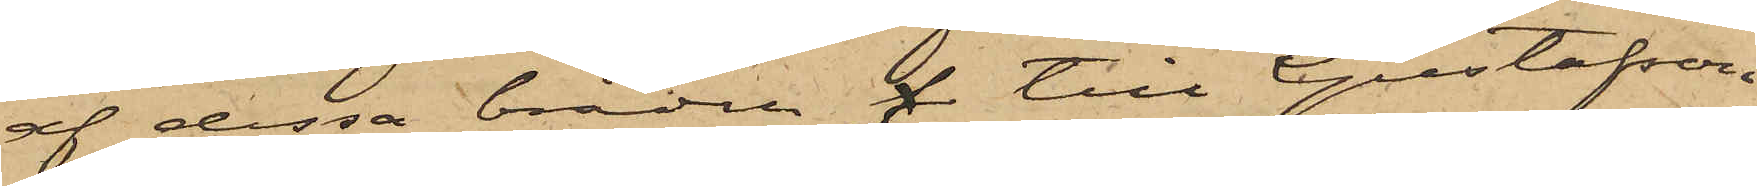af dessa bräden f till Gustafson
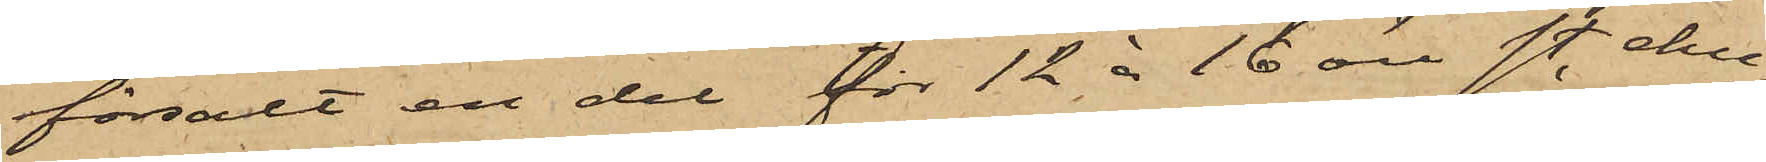försålt en del för 12 á 16 öre st. ehu¬
